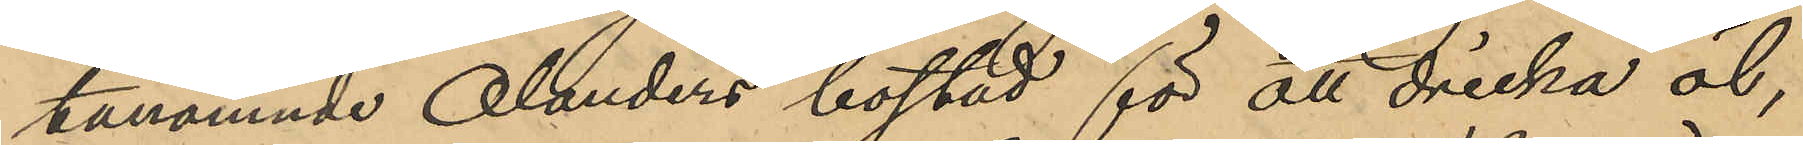tanämnde Olanders bostad för att dricka öl,
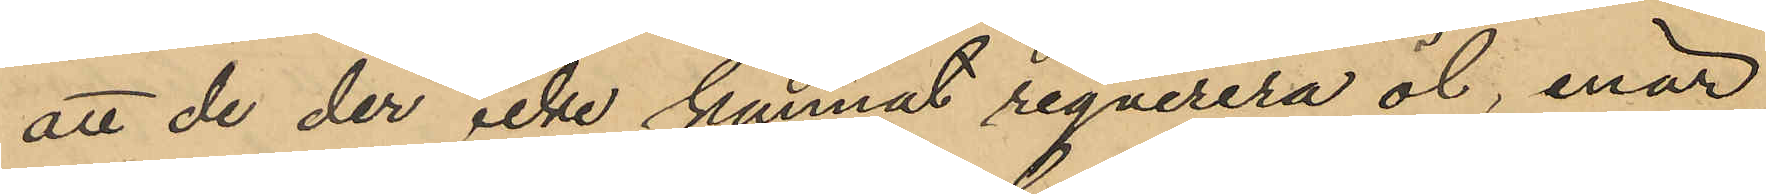att de der icke kunnat reqverera öl, enär
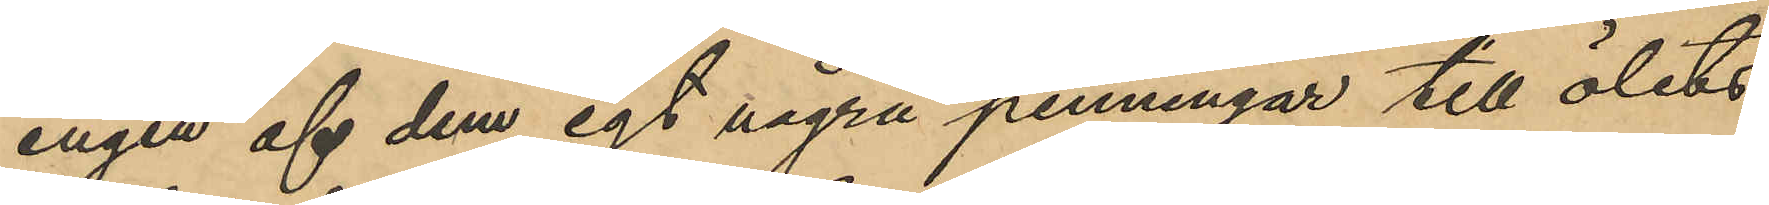ingen af dem egt några penningar till ölets
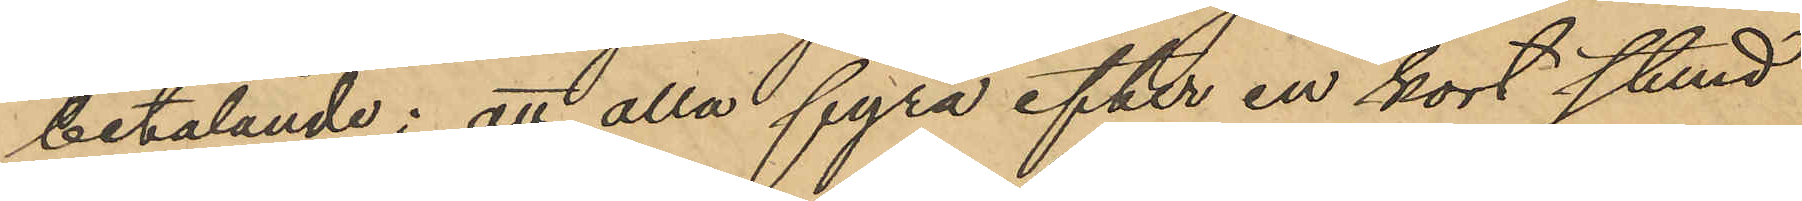betalande; att alla fyra efter en kort stund
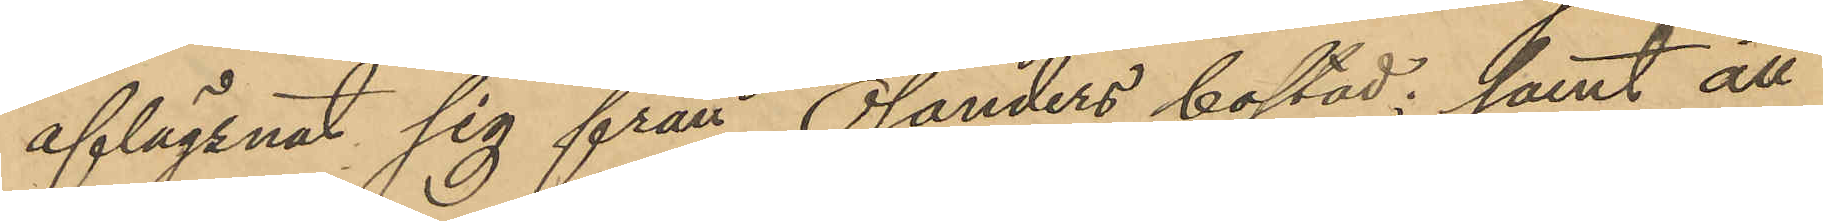aflägsnat sig från Olanders bostad; samt att
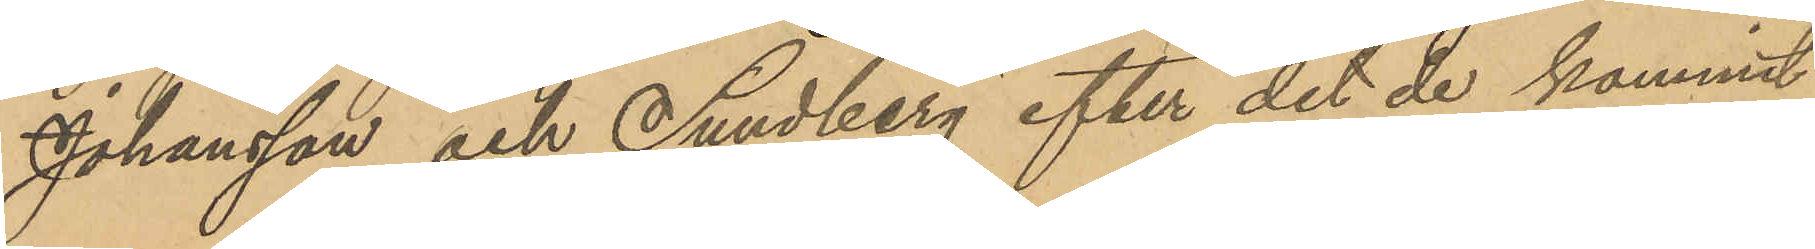Johansson och Sundberg efter det de kommit
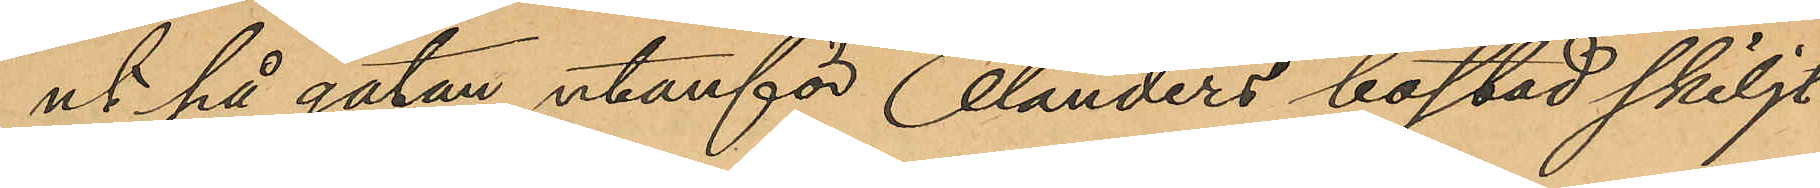ut på gatan utanför Olanders bostad skiljt
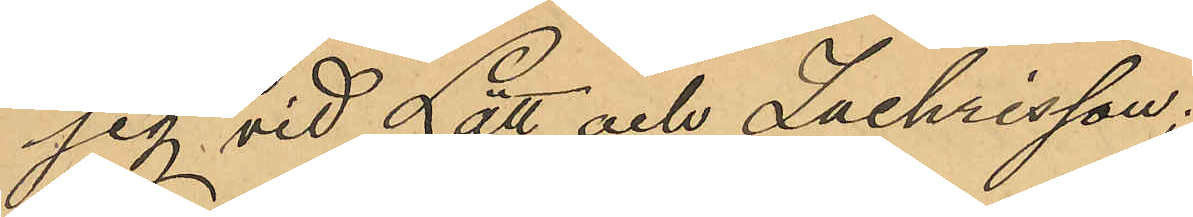sig vid Lätt och Zachrisson.
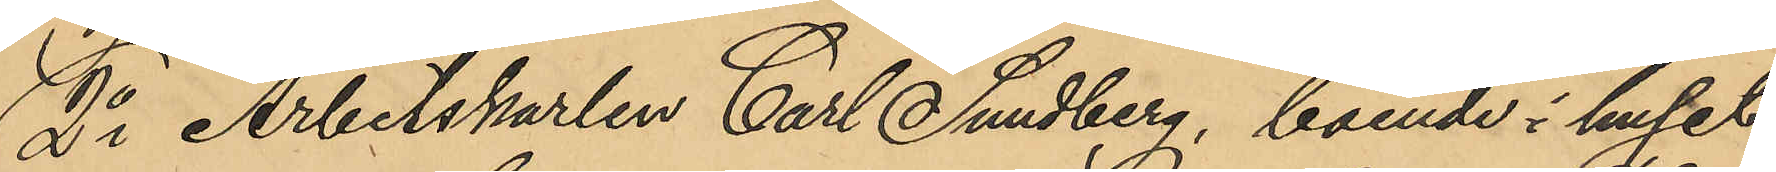2o Arbetskarlen Carl Sundberg, boende i huset
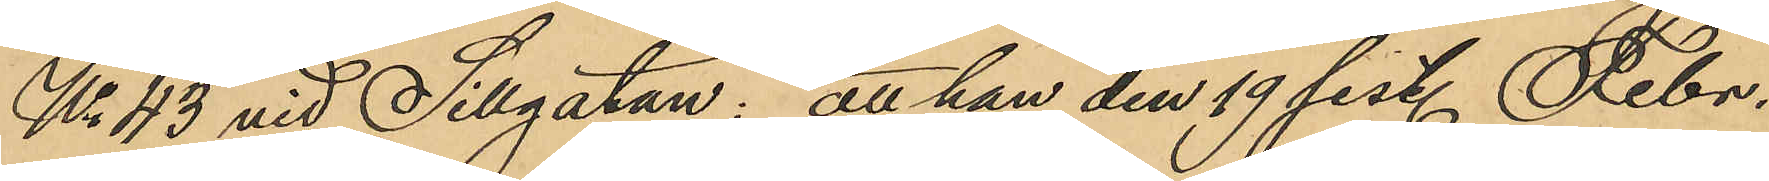No 43 vid Sillgatan: att han den 19 sist. Febr.
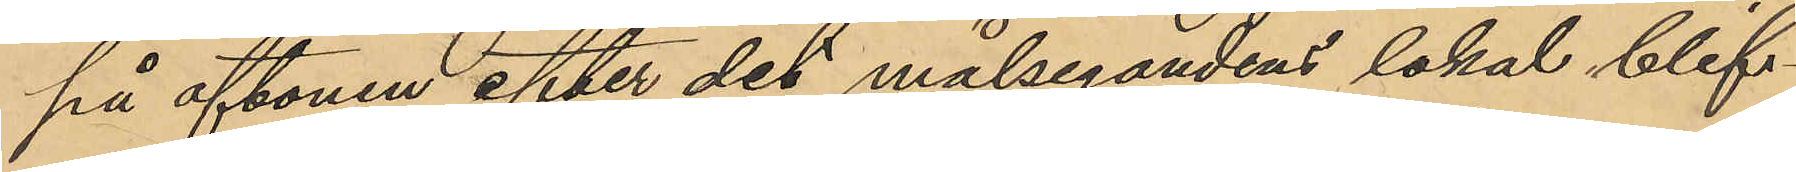på aftonen efter det målsegandens lokal blif¬
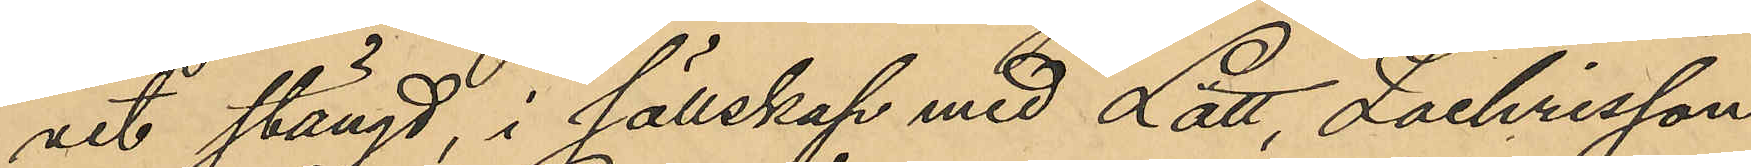vit stängd, i sällskap med Lätt, Zachrisson
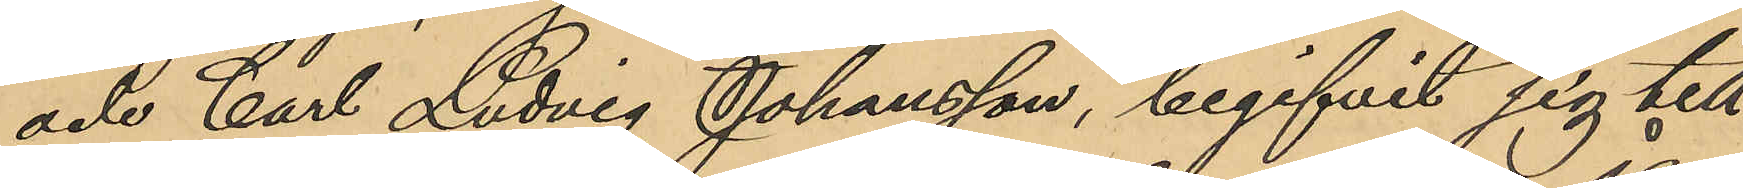och Carl Ludvig Johansson, begifvit sig till
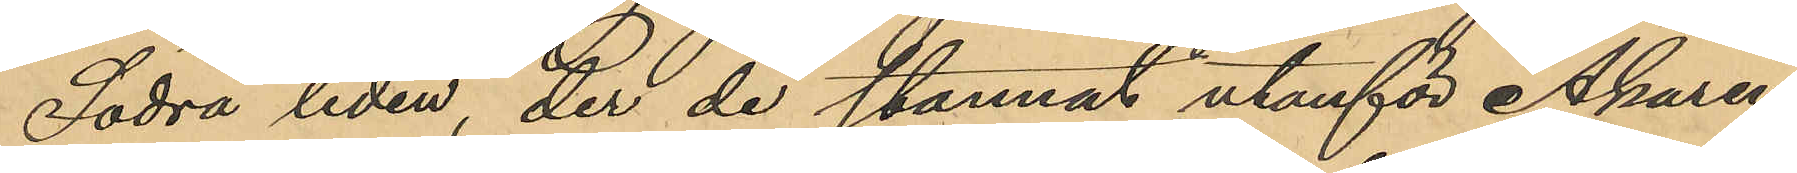Södra liden, der de stannat utanför Åkaren
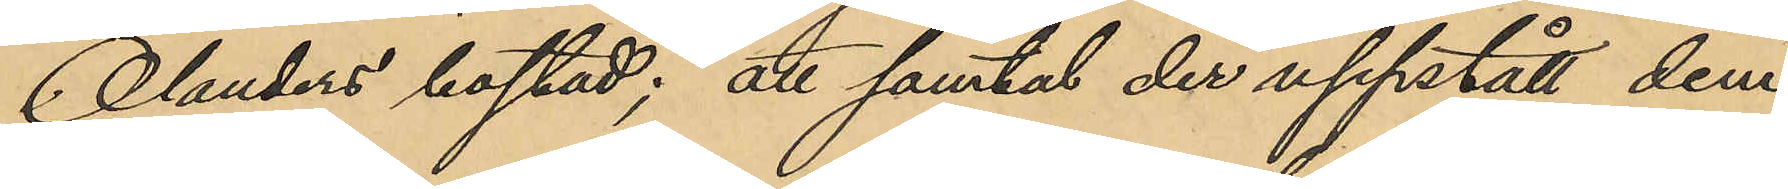Olanders bostad; att samtal der uppstått dem
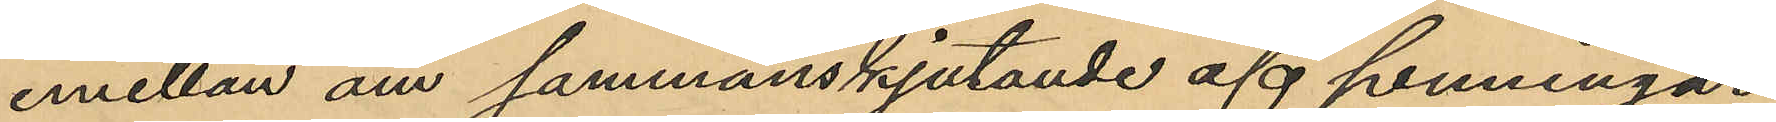emellan om sammanskjutande af penningar
